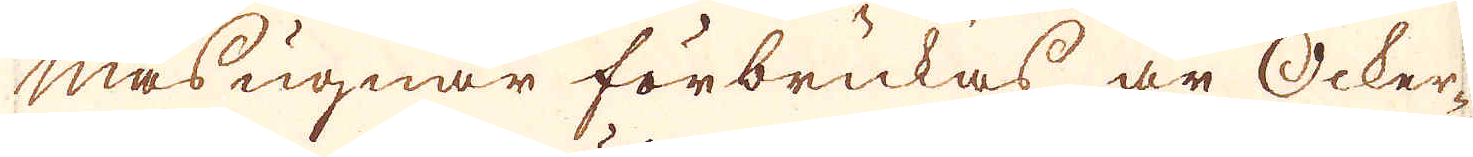masugnar förbrukas är Ocker-
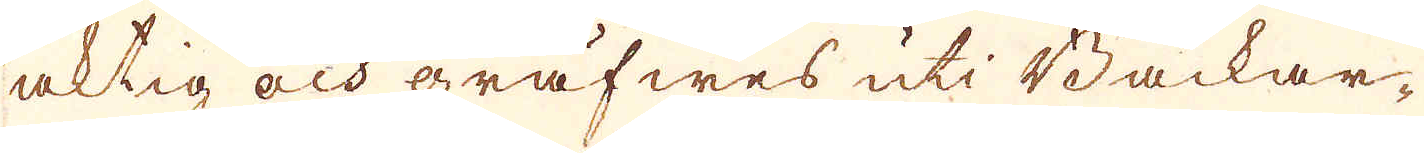aktig och gräfwes uti Backar-
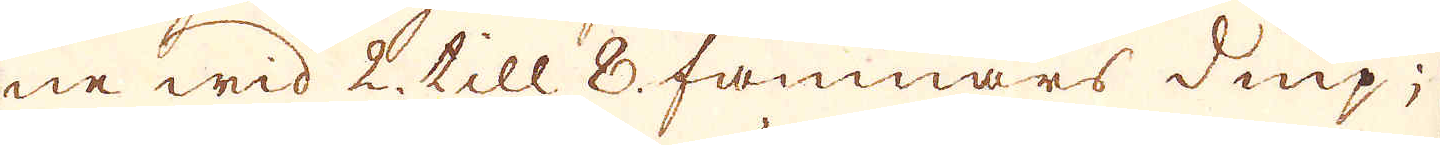ne wid 2 till 8. famnars diup ;
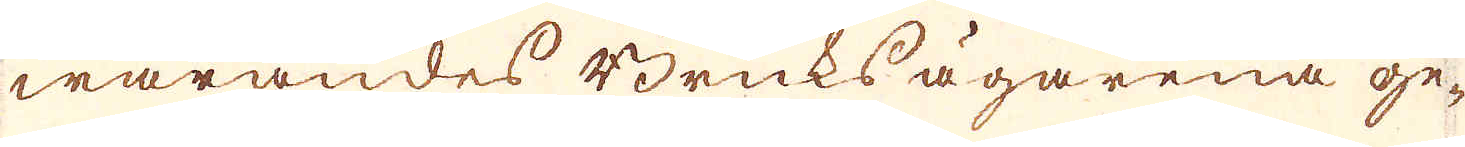warandes Bruksägarena ge-
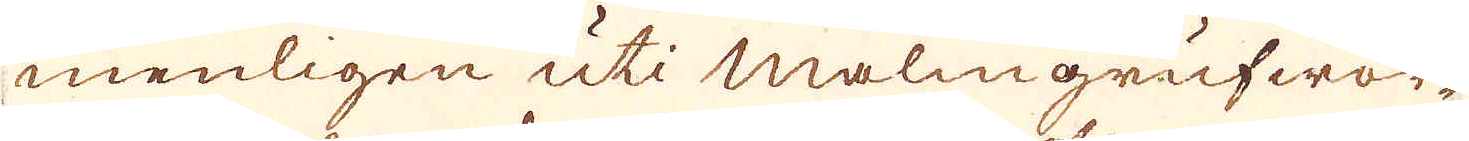menligen uti Malmgruwor-
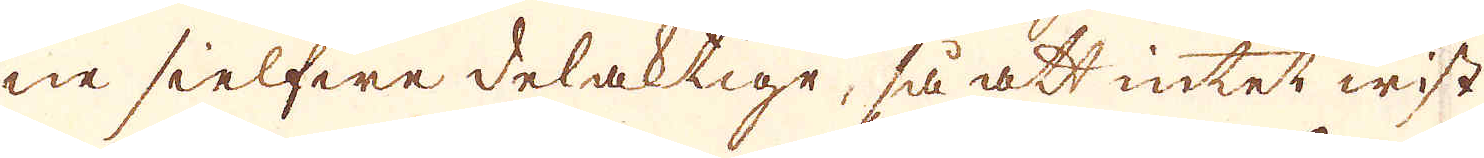ne sielfwe delaktige, så att intet wist
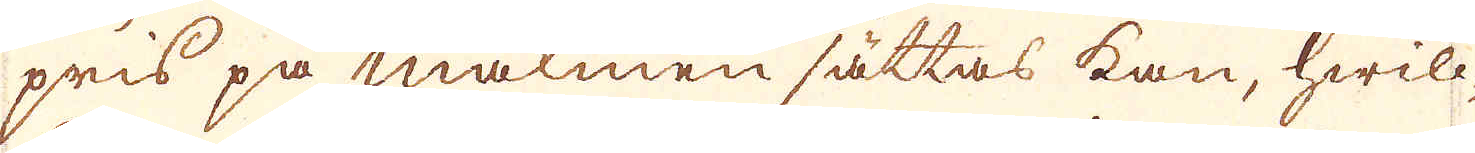pris på malmen sättas kan, hwill-
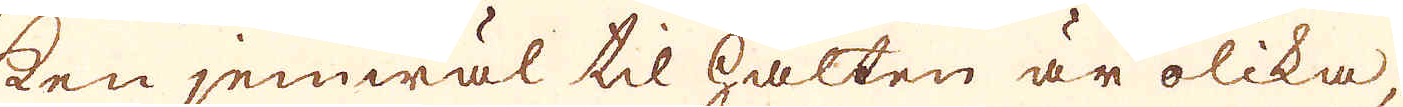ken jemwäl til Halten är olika
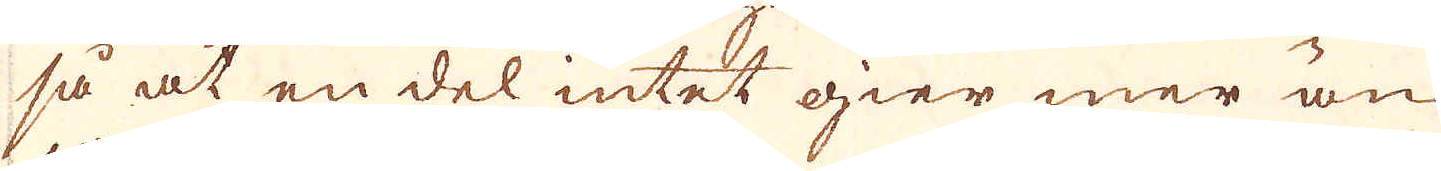så at en del intet gier mer än
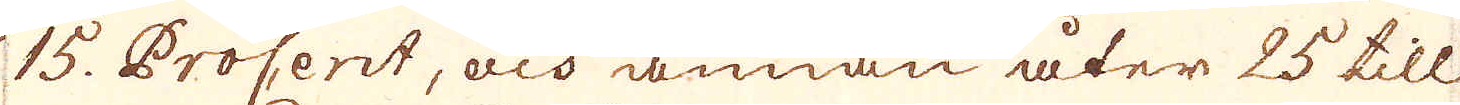15. Procent, och annan åter 25 till
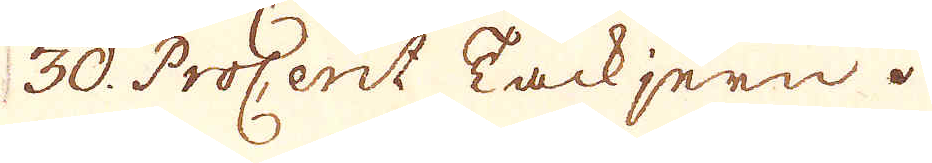30. Procent Tackjern.
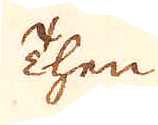Then
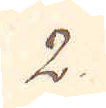2.
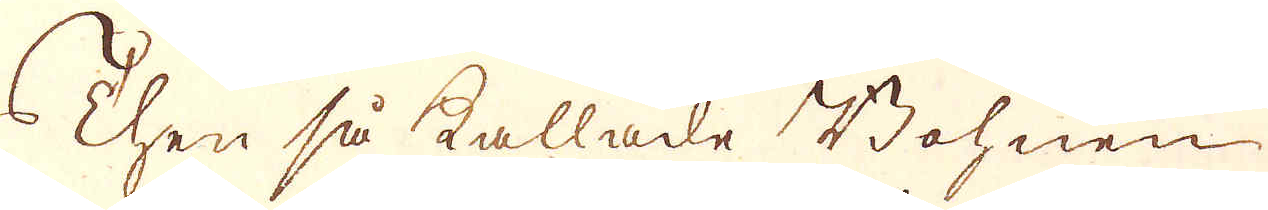Then så kallade Bohnen-
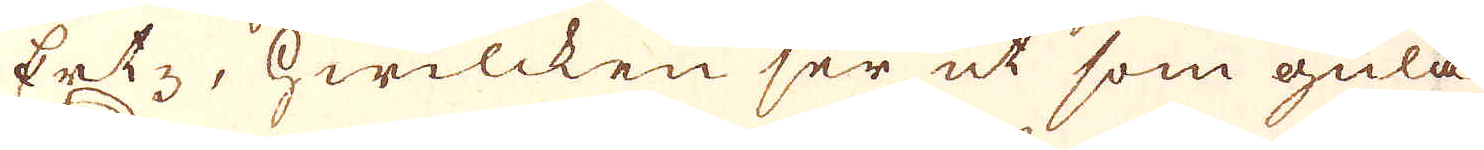Ertz, hwilcken ser ut som gula
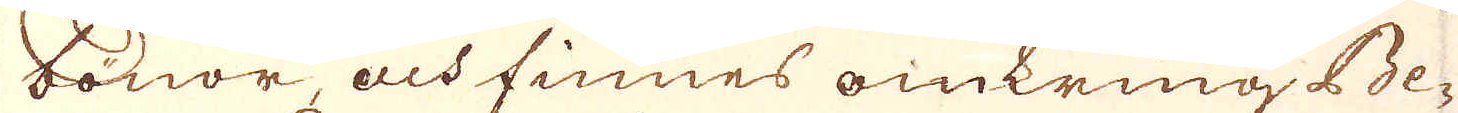bönor och finnes omkring Be-
